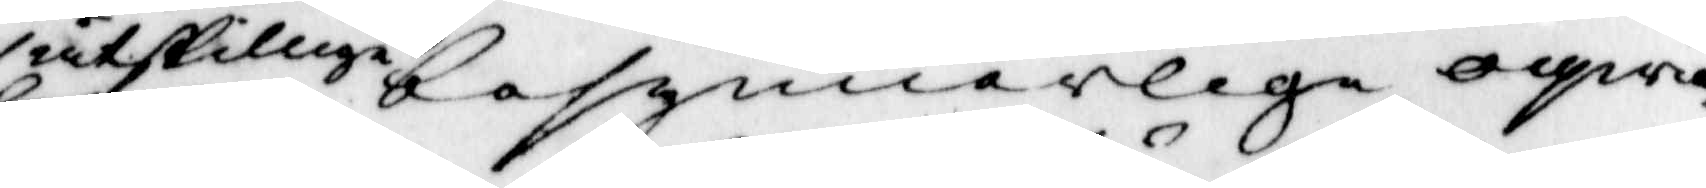åtskilliga besynnerlige oqwä¬
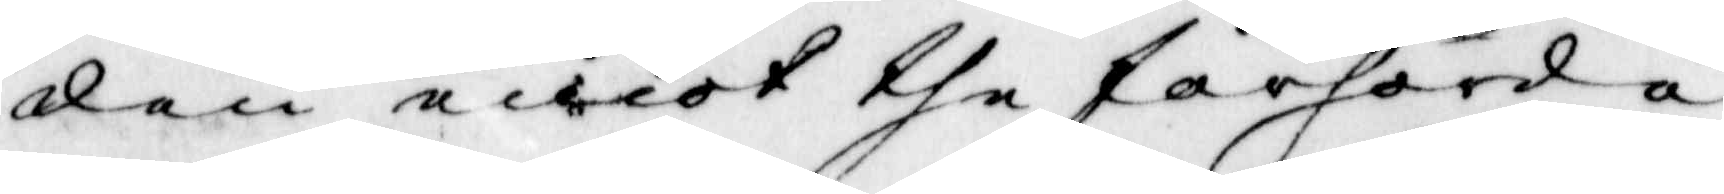den emot the förhörda
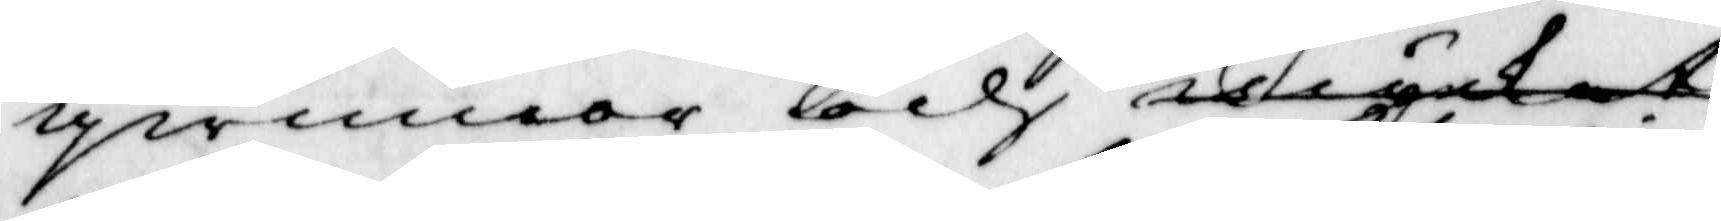qwinnor och mycket
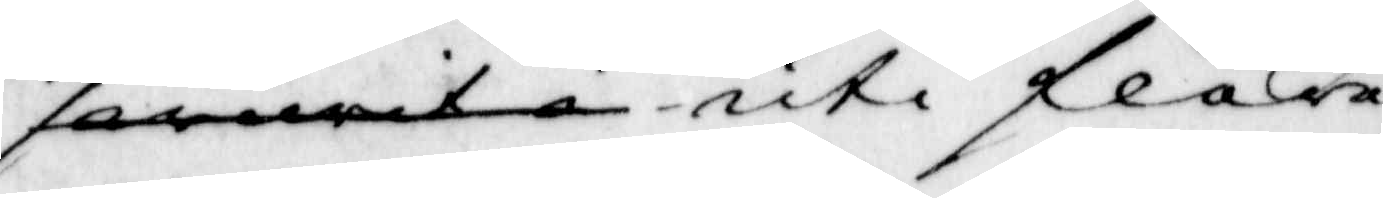swurit i uti flera 
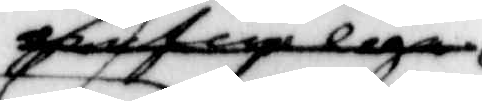grufweliga
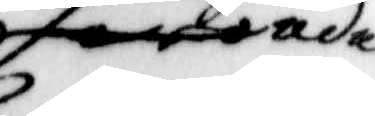oroader
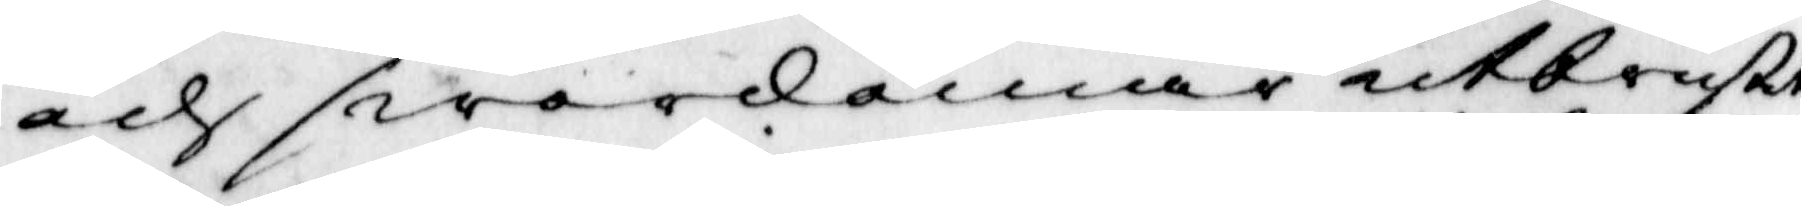och swordomar utbrustit,
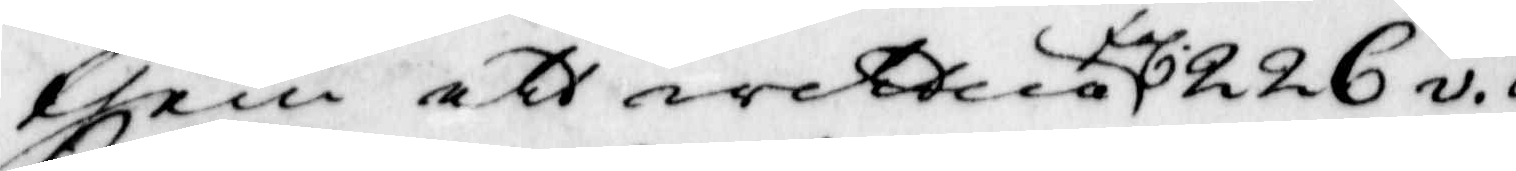them ett wittne fol 226 v 
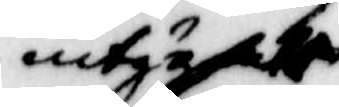intygat
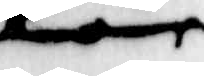för¬
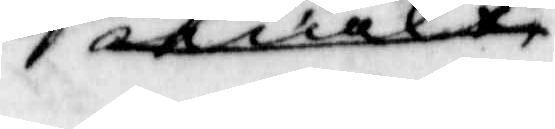mält
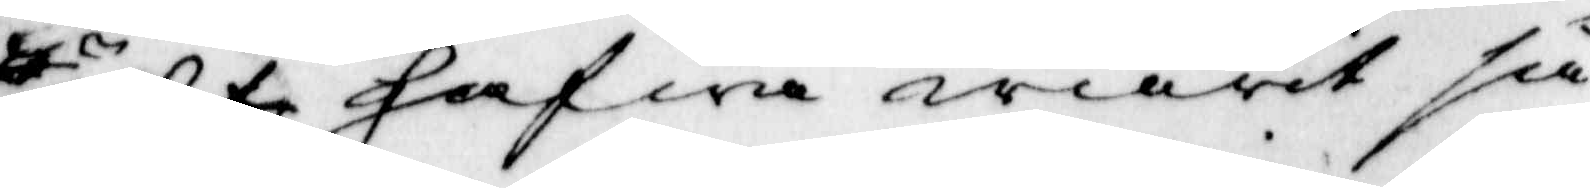sagdt hafwa warit så
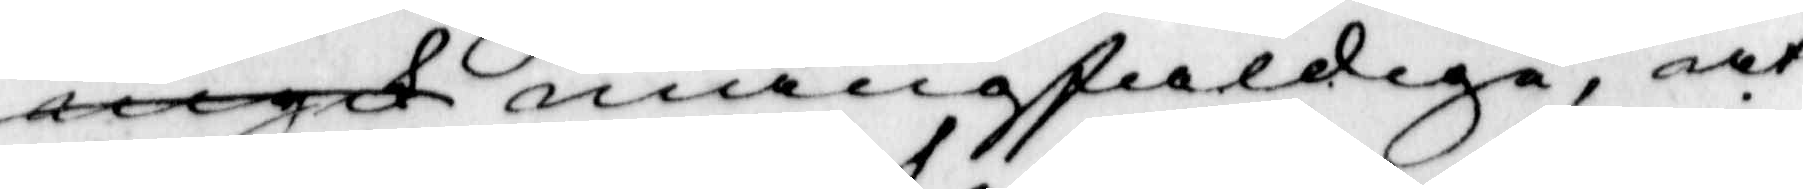engk mångfaldie, at
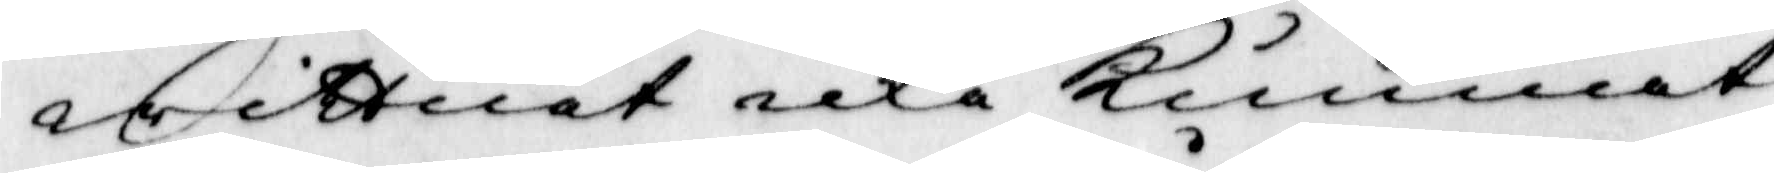wittnet icke Kunnat
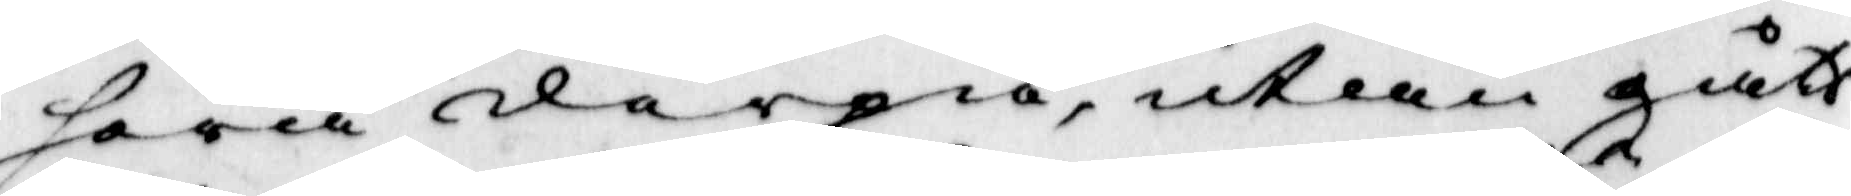höra derpå, utan gått
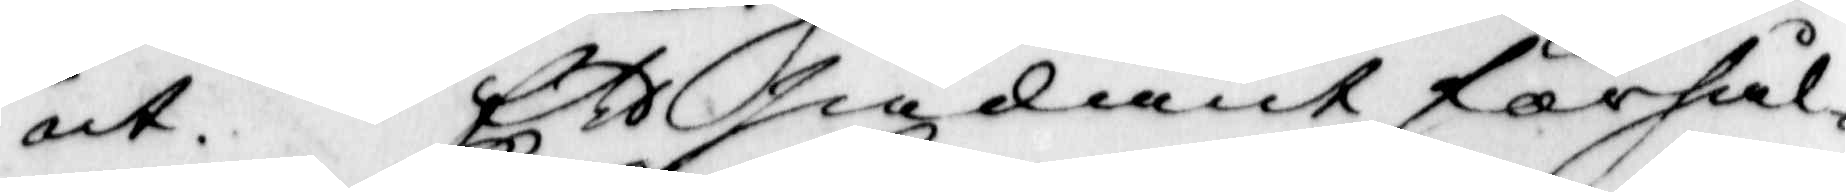ut. Ett sådant förhål¬
